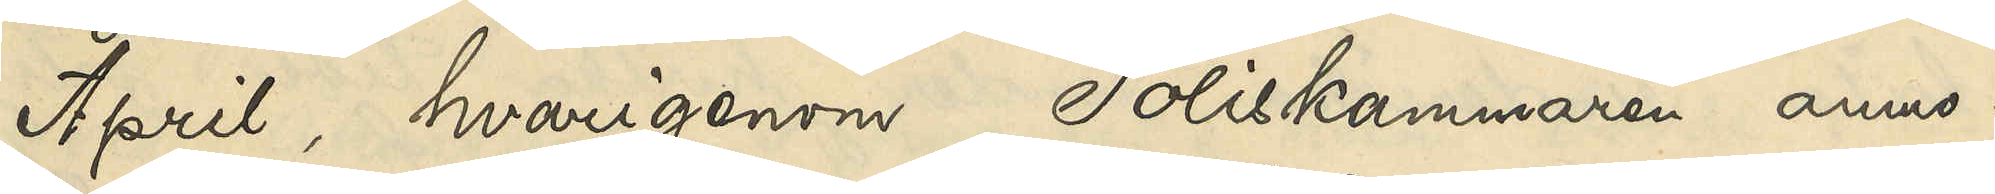April, hvarigenom Poliskammaren anmo¬
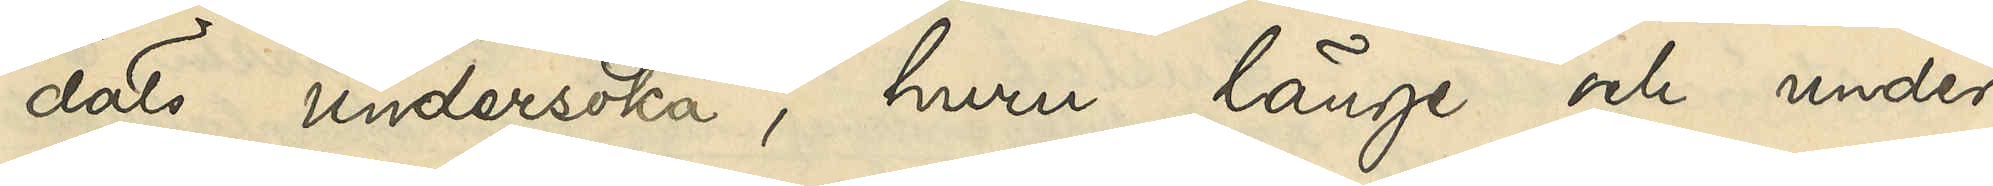dats undersöka, huru länge och under
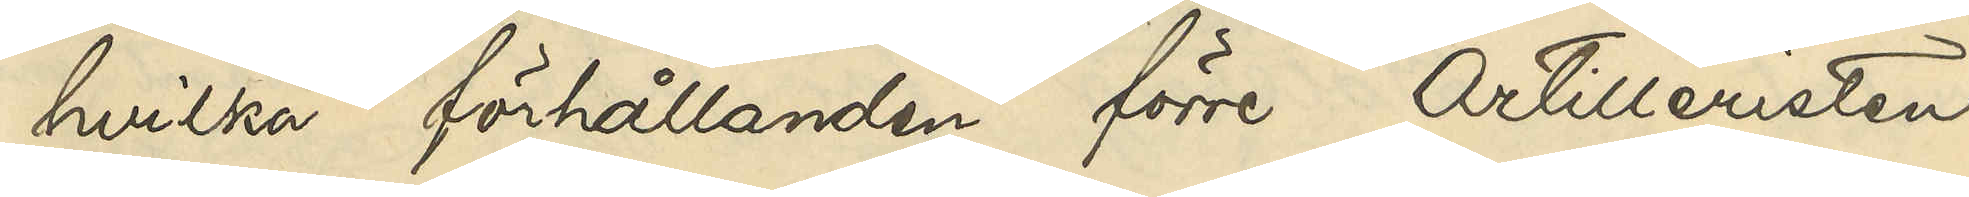hvilka förhållanden förre Artilleristen
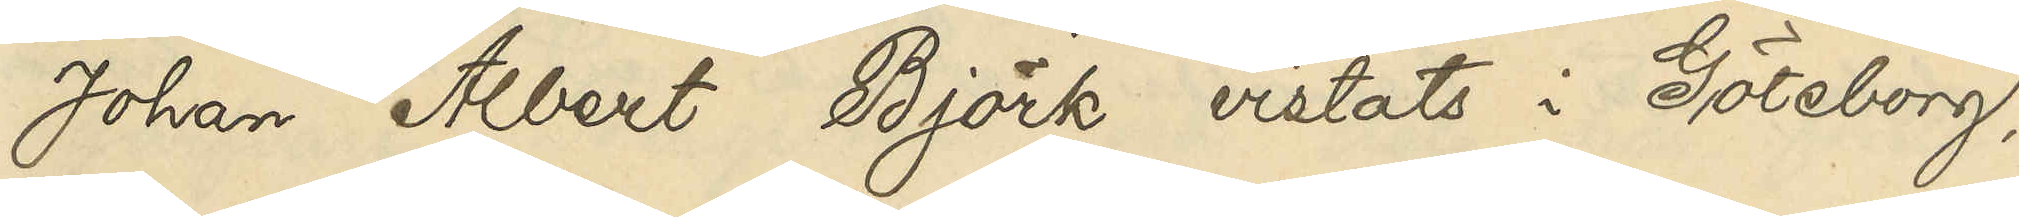Johan Albert Björk vistats i Göteborg,
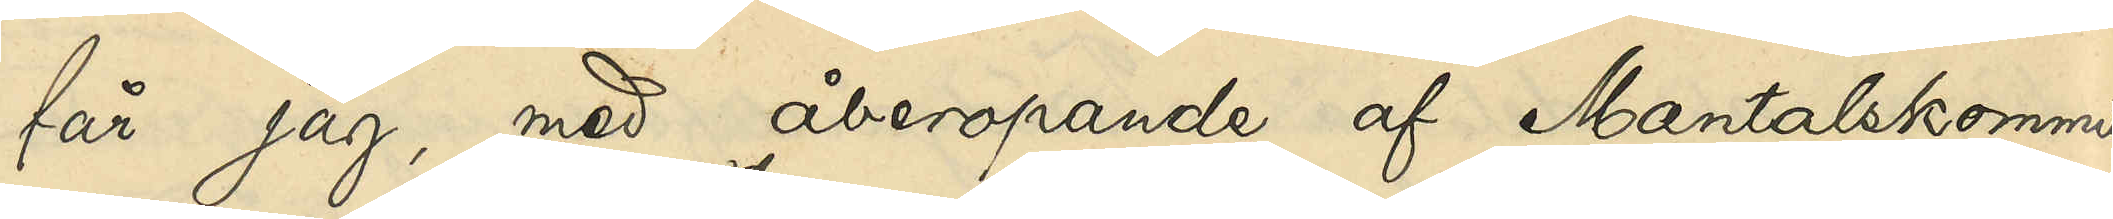får jag, med åberopande af Mantalskommis¬
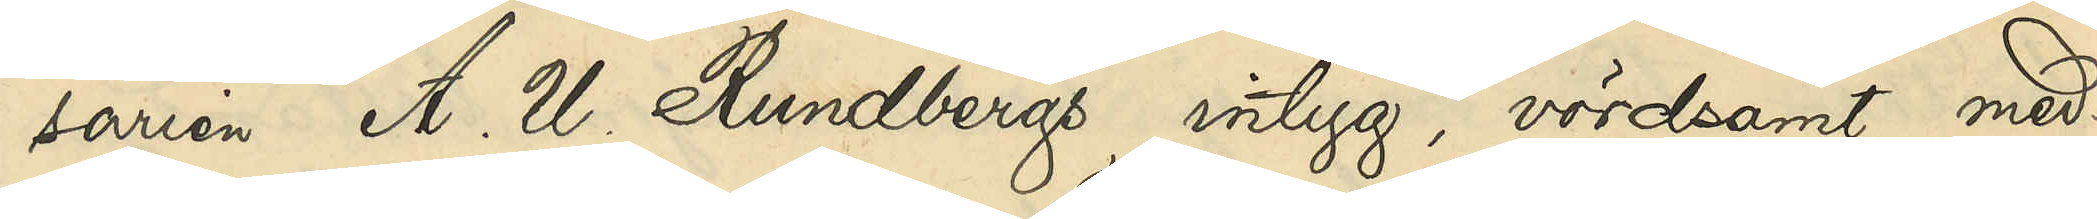sarien A. W. Rundbergs intyg, vördsamt med¬
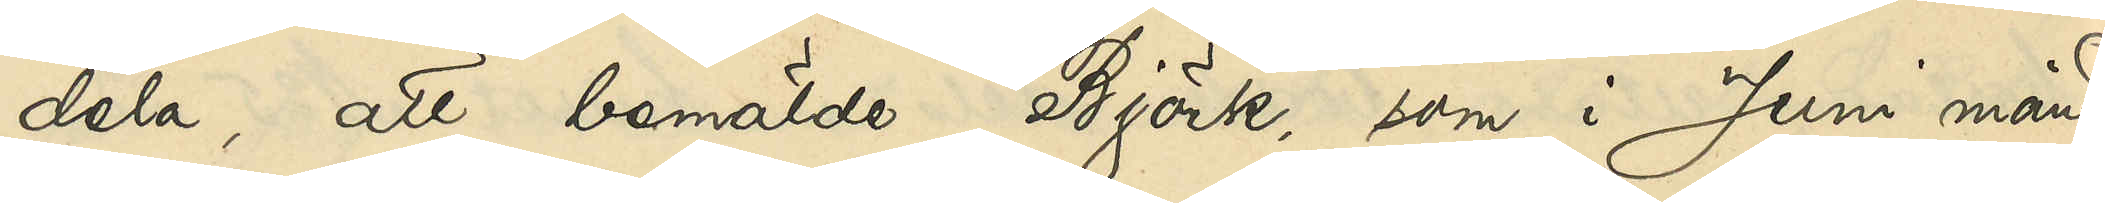dela, att bemälda Björk, som i Juni månad
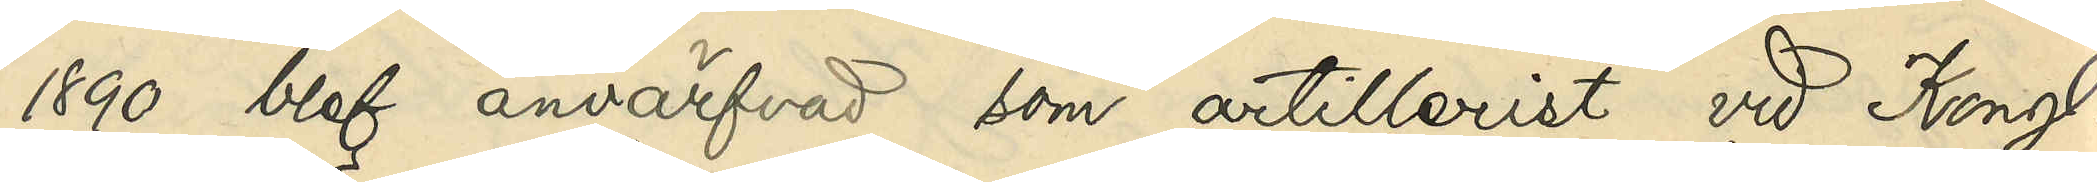1890 blef anvärfvad som artillerist vid Kongl.
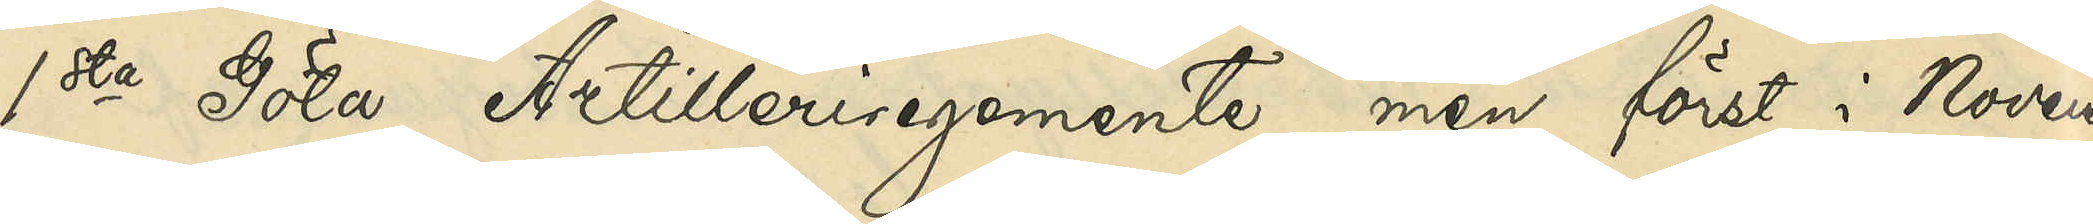1sta Göta Artilleriregemente, men först i Novem¬
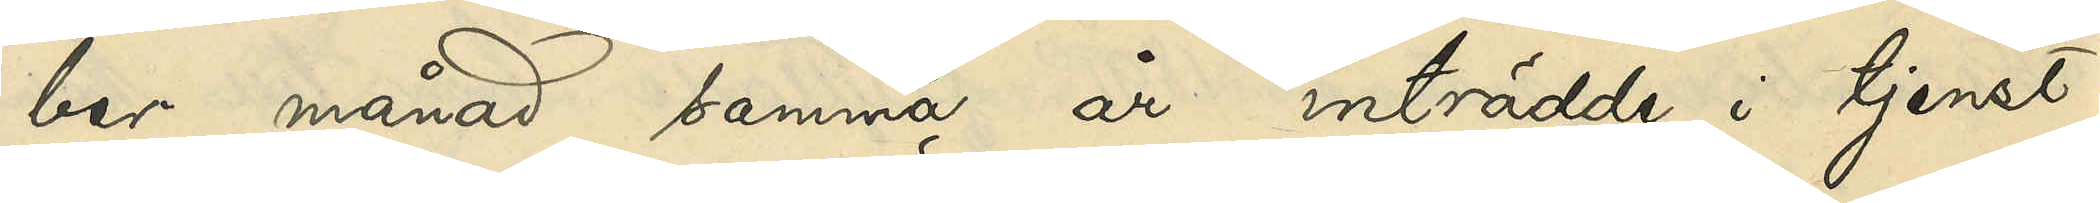ber månad samma år inträdde i tjenst¬
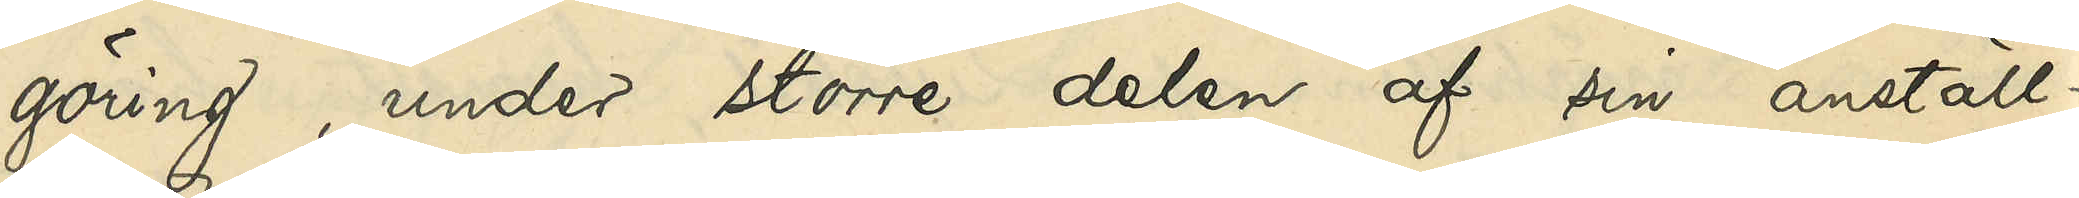göring, under större delen af sin anställ¬
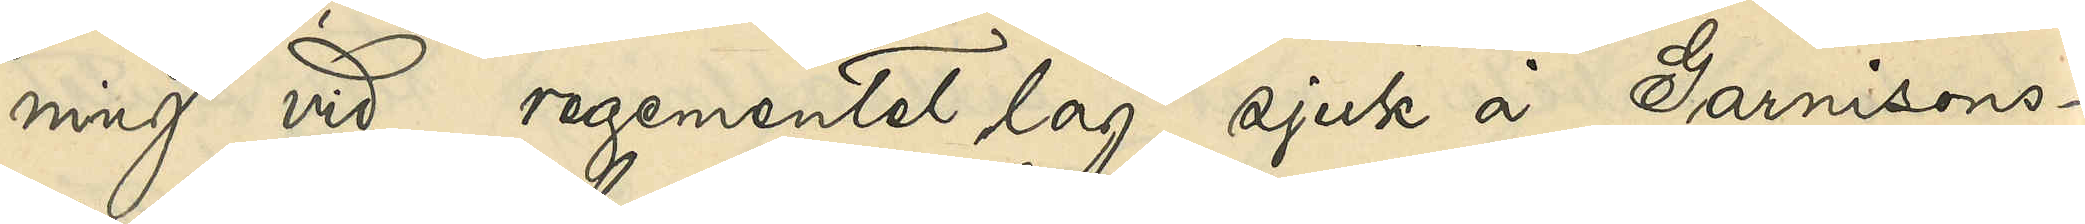ning vid regementet låg sjuk å Garnisons¬
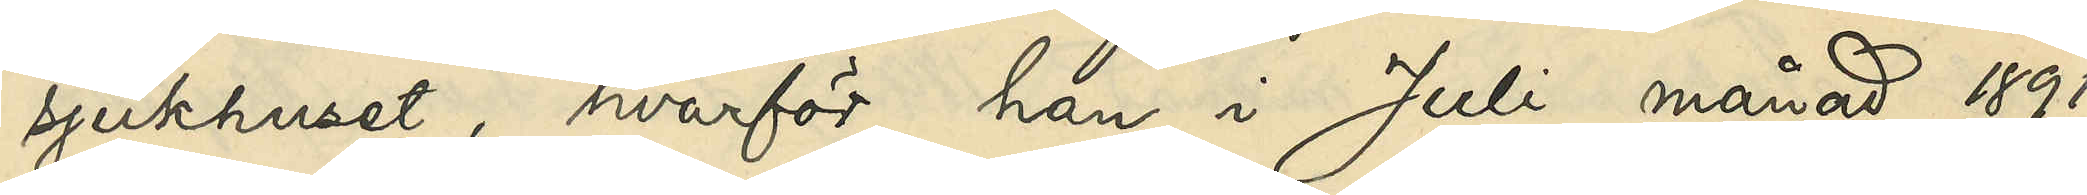sjukhuset, hvarför han i Juli månad år 1891
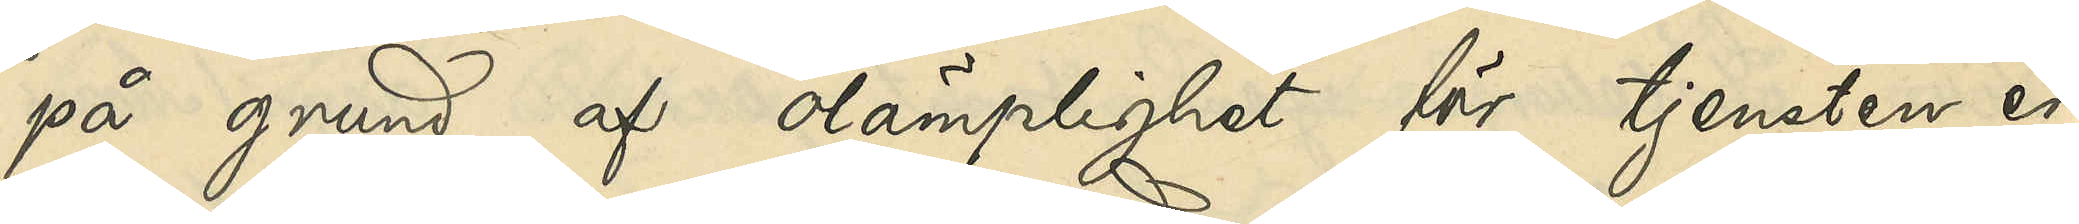på grund af olämplighet för tjensten er¬
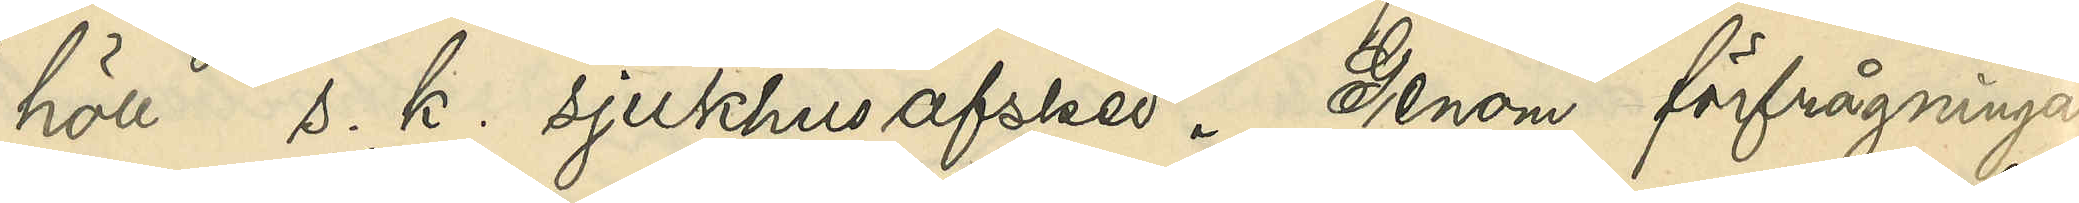höll s. k. sjukhusafsked. Genom förfrågningar
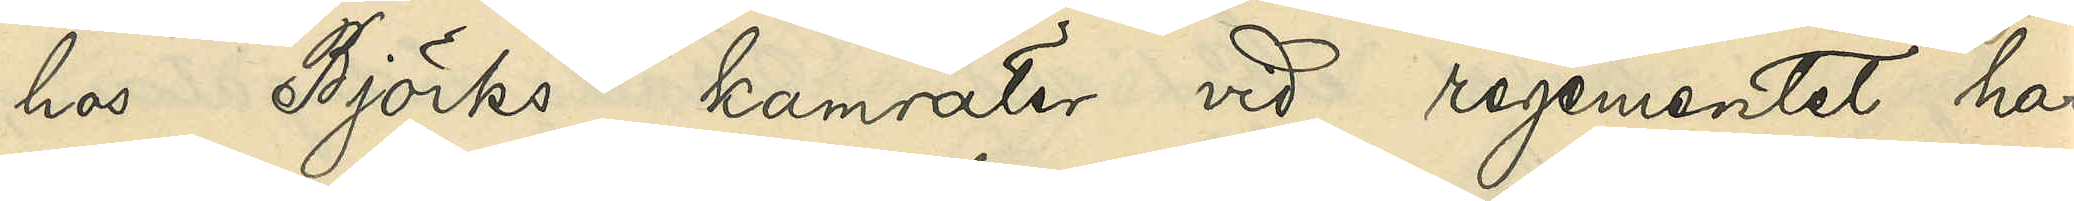hos Björks kamrater vid regementet har
